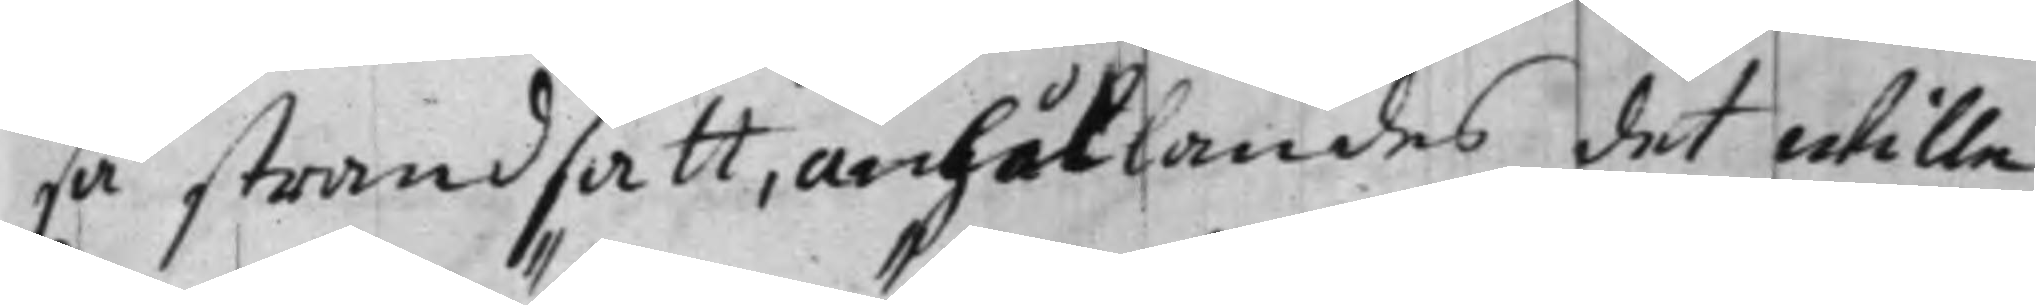så strandsatt, anhållandes det wille
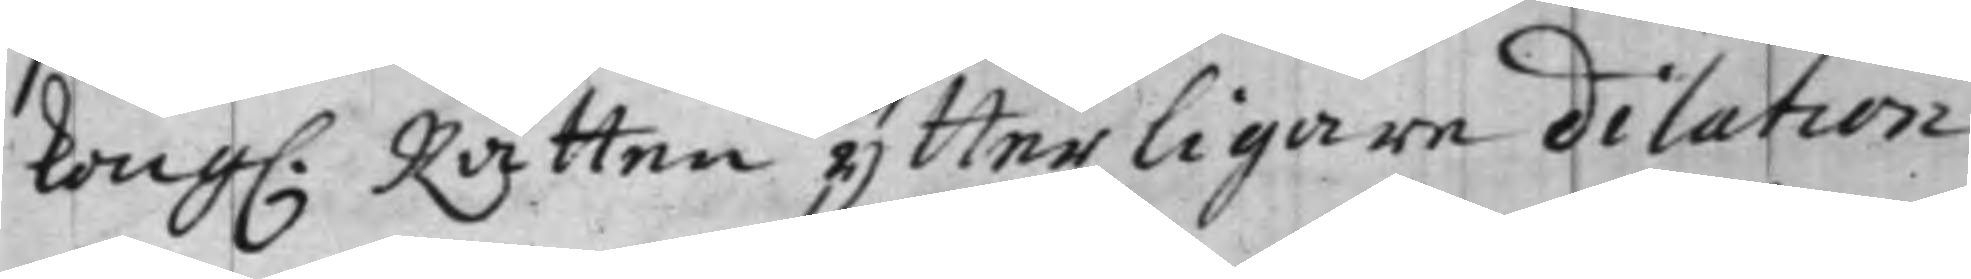Kong. Rätten ytterligare dilation
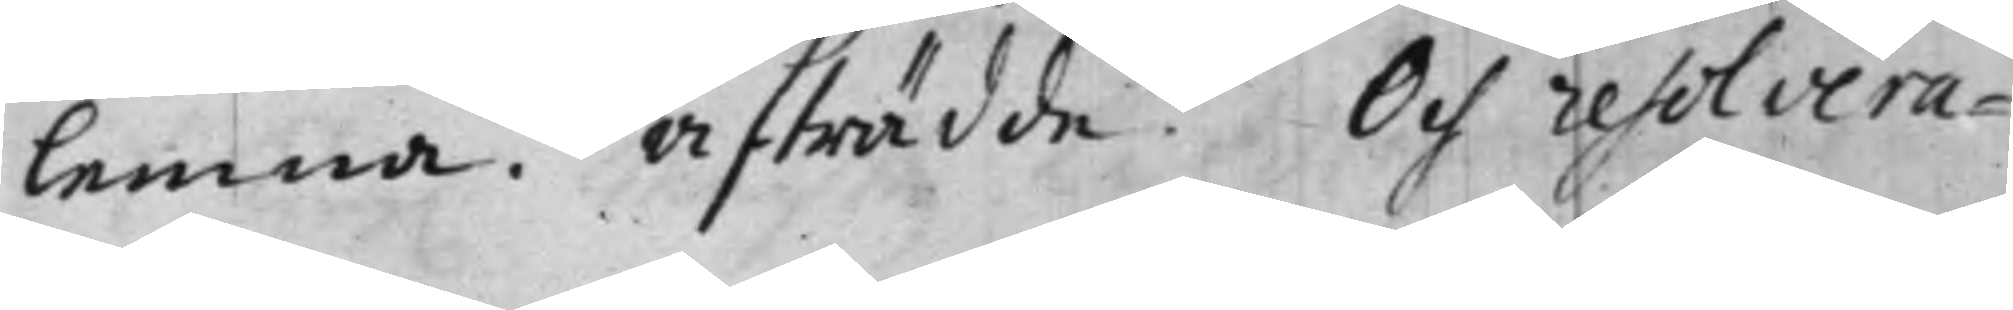lemna. Afträdde. Och resolvera¬
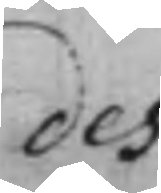des
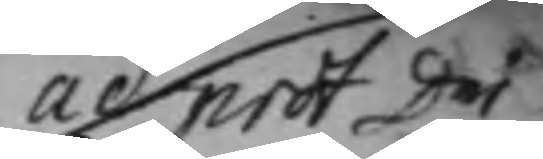ad prot D:ni
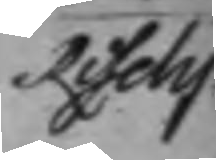Reselij
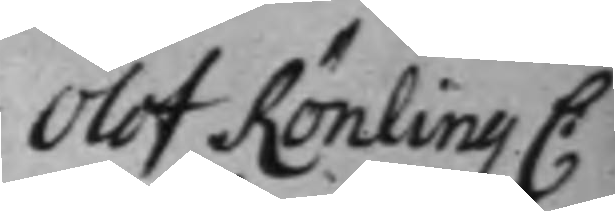Olof Rönling C.
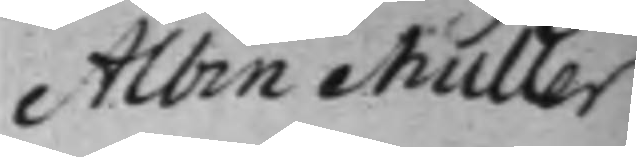Albin Muller
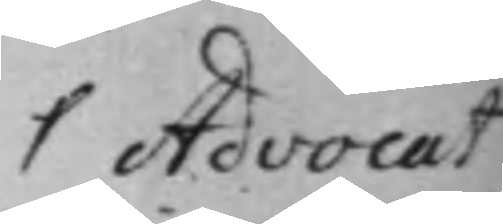Ψ Advocat 
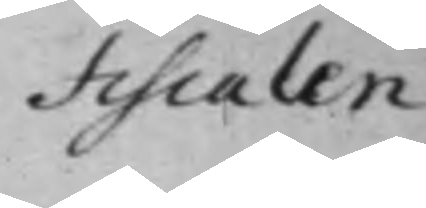Fiscalen
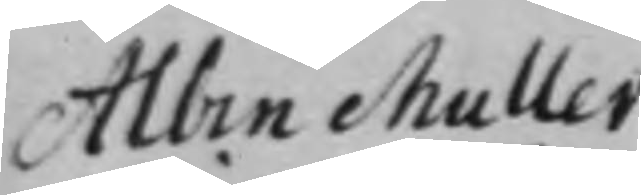Albin Muller
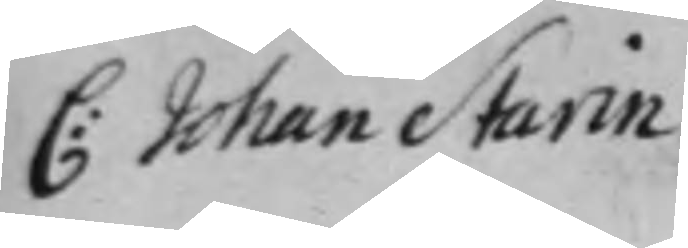C: Johan Starin
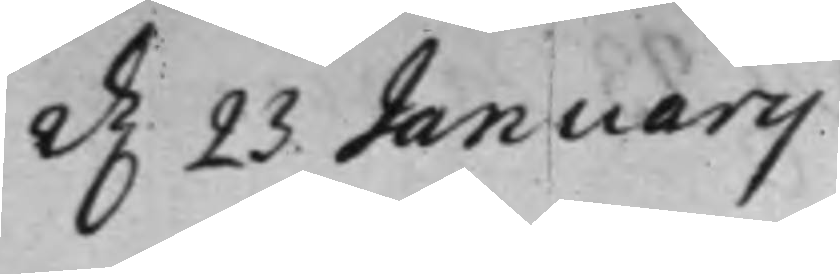d. 23 Januarij
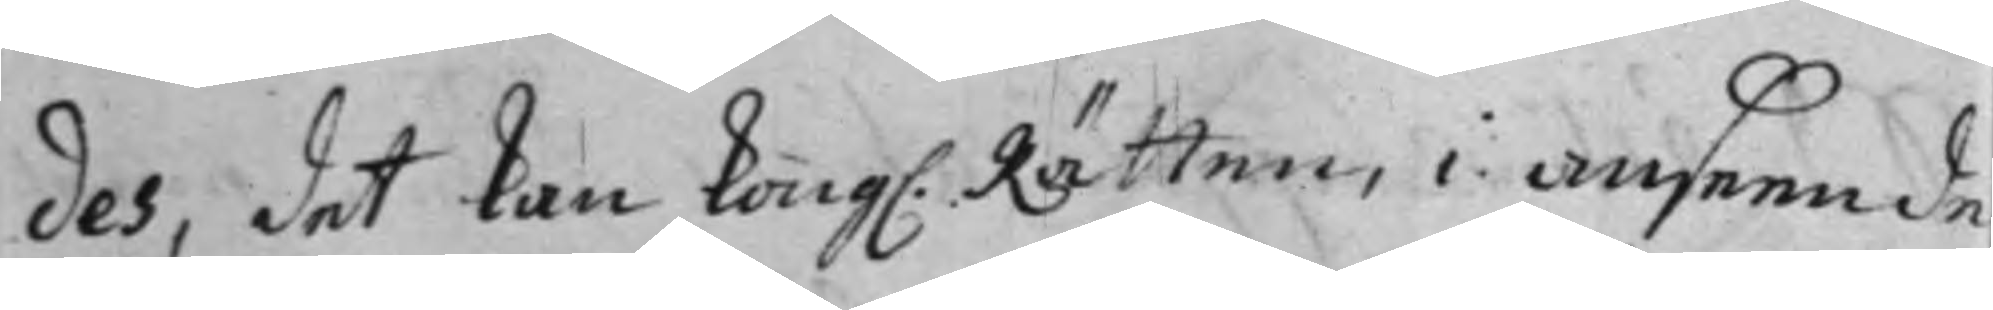des, det kan Kong. Rätten i anseende
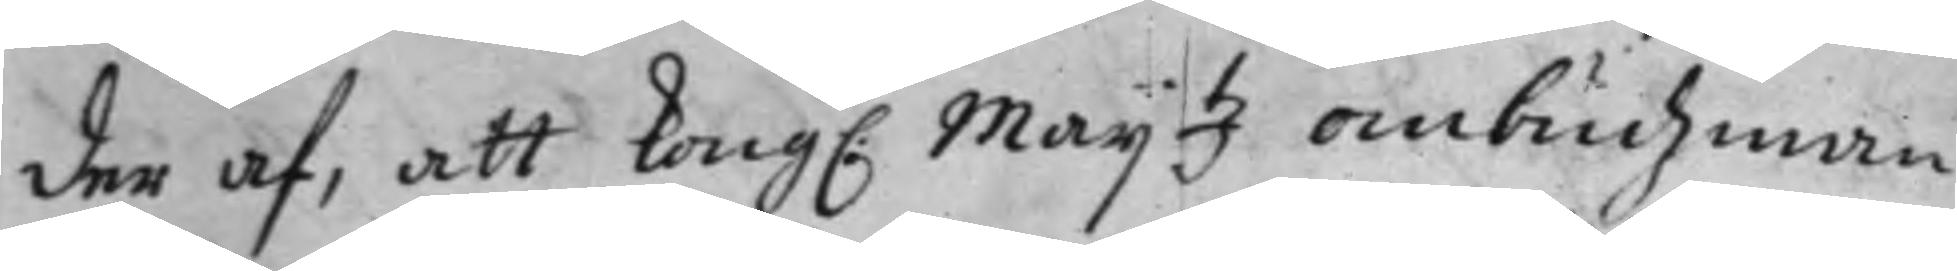der af, att Kong. Maij.tz ombudzman
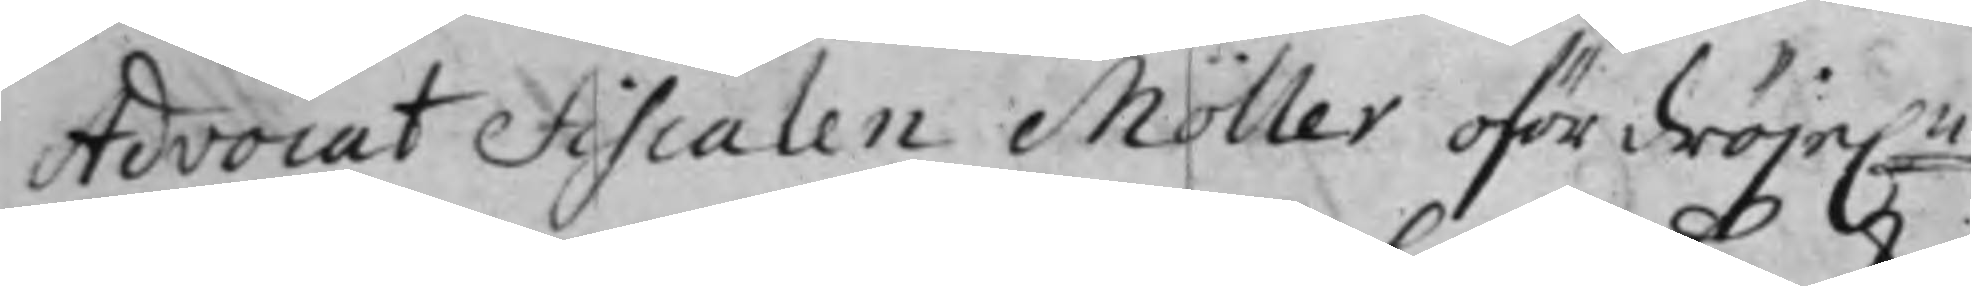Advocat Fiscalen Möller ofördröje:n
